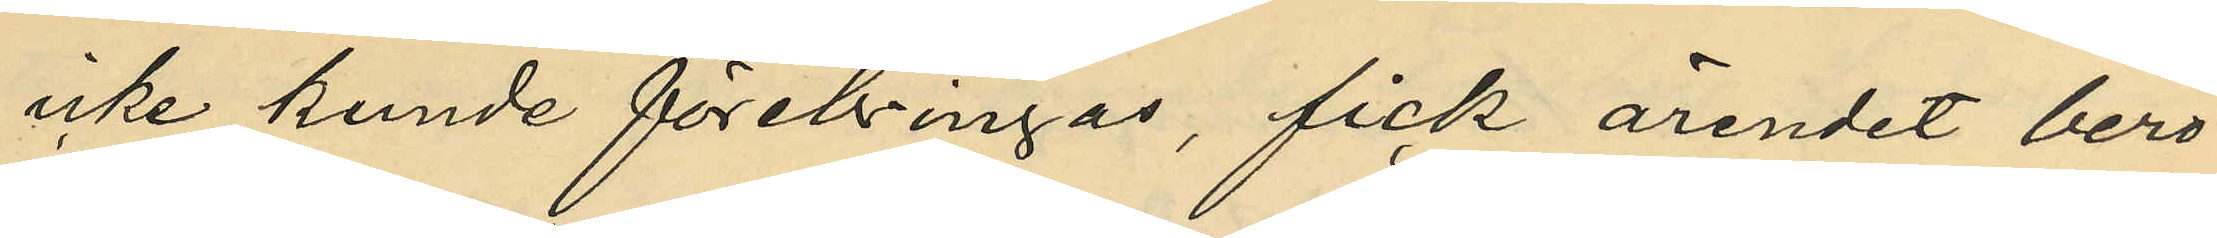icke kunde förebringas, fick ärendet bero
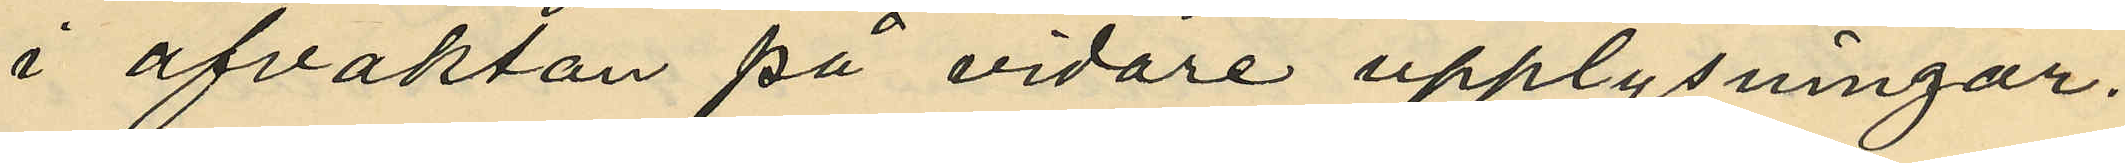i afvaktan på vidare upplysningar.
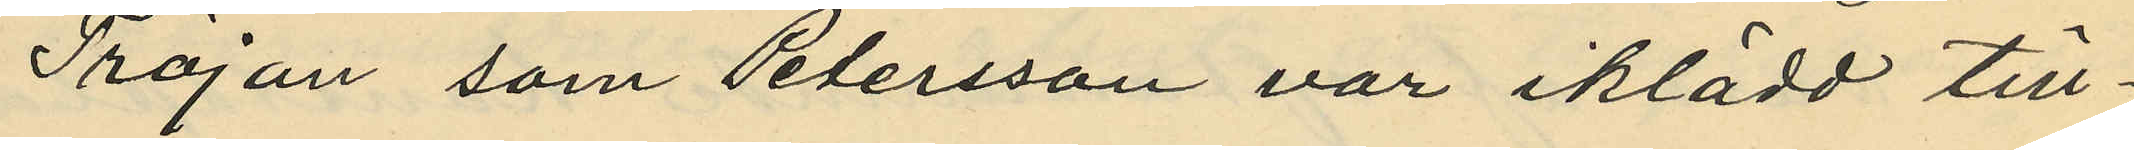Tröjan som Petersson var iklädd till¬
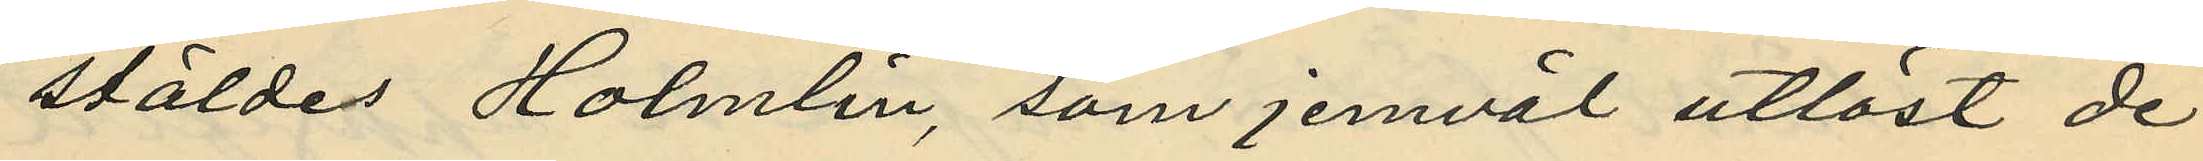stäldes Holmlin, som jemväl utlöst de
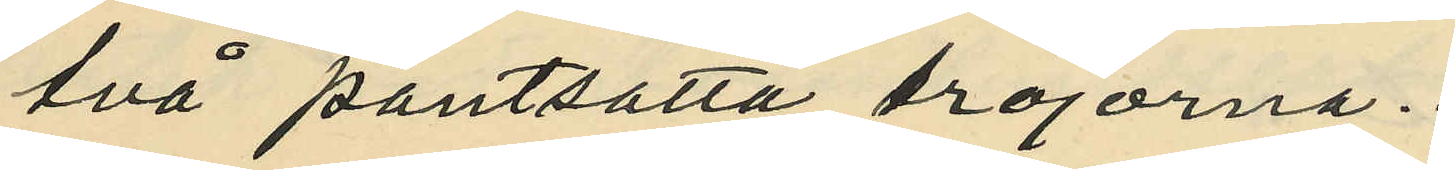två pantsatta tröjorna.
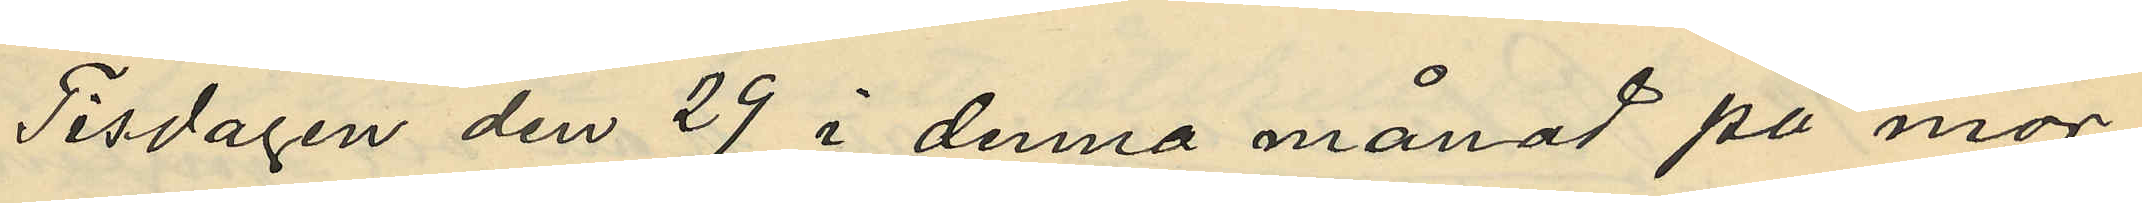Tisdagen den 29 i denna månad på mor¬
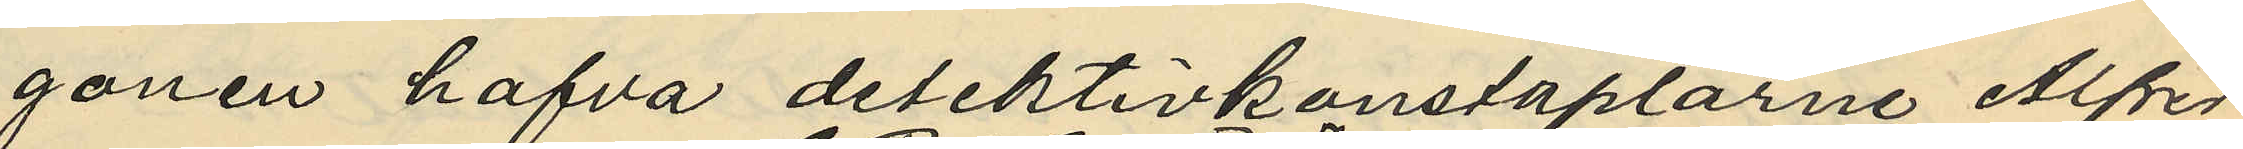gonen hafva detektivkonstaplarne Alfred
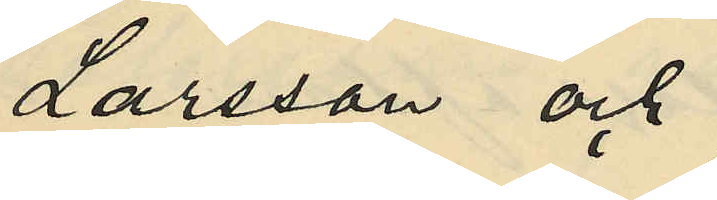Larsson och
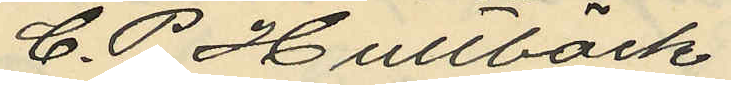C. P. Hultbäck
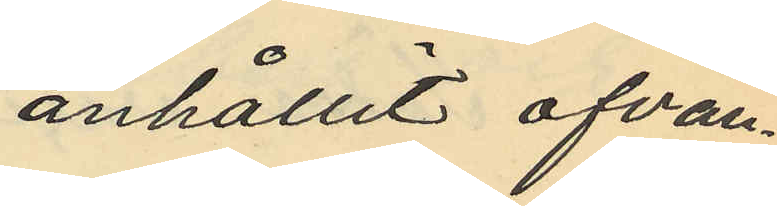anhållit ofvan¬
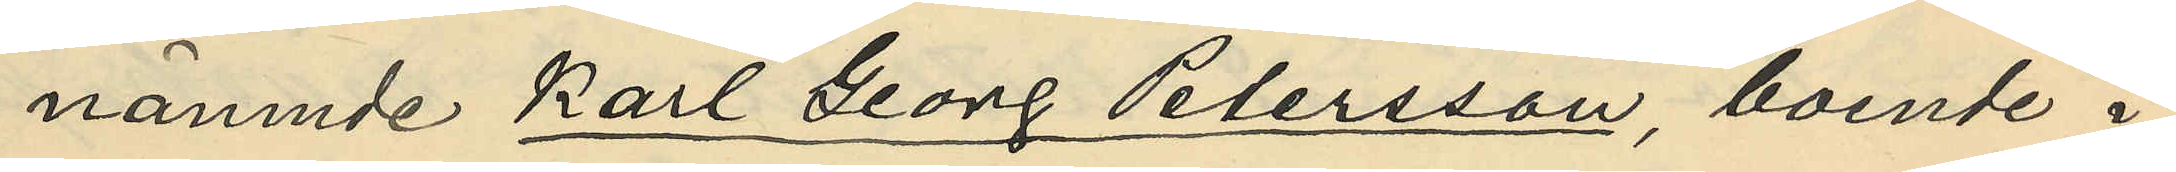nämnde Karl Georg Petersson, boende i
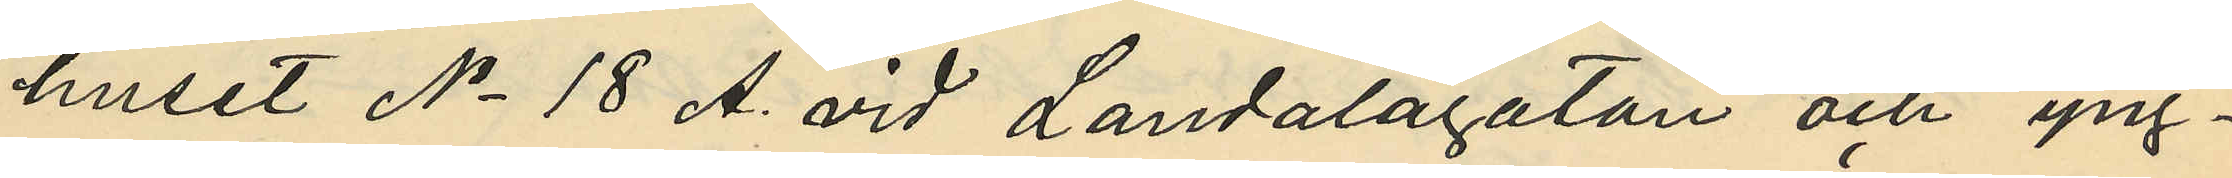huset No 18 A. vid Landalagatan och yng¬
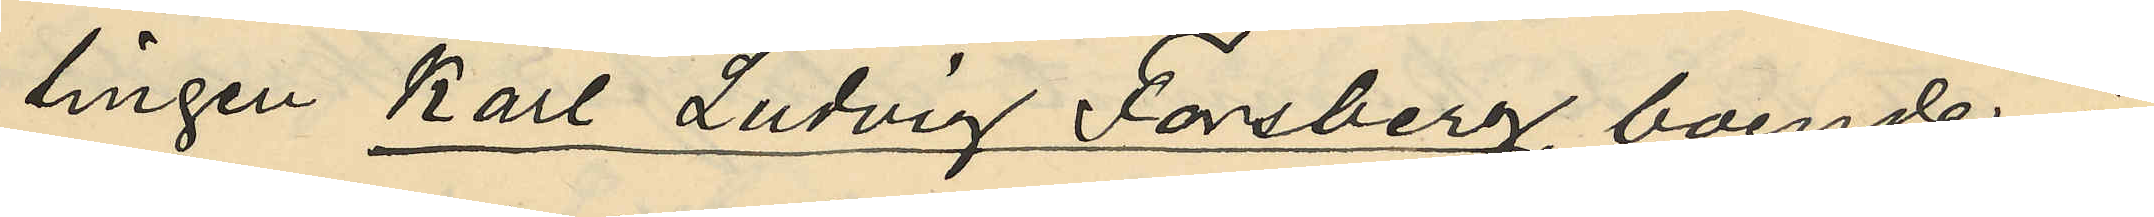lingen Karl Ludvig Forsberg, boende i
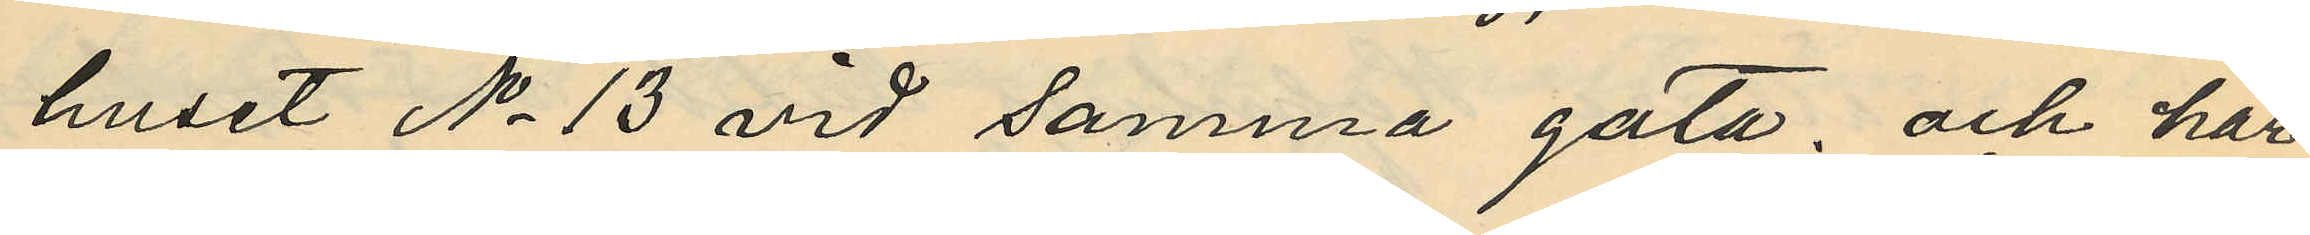huset No 13 vid samma gata; och har
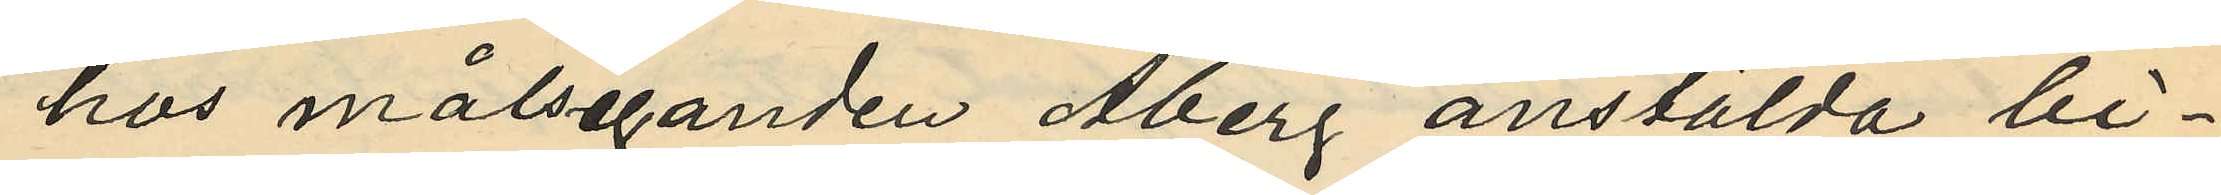hos målseganden Åberg anstälda bi¬
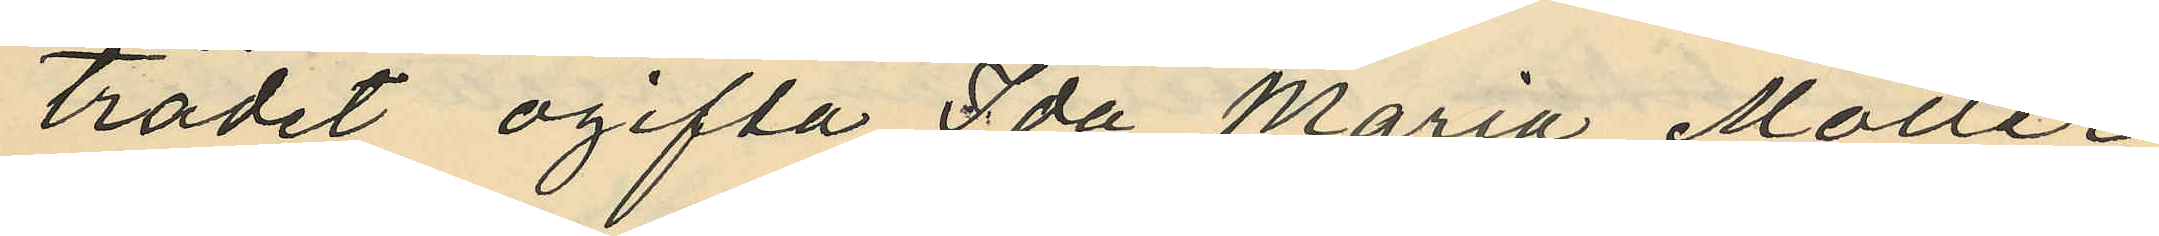trädet ogifta Ida Maria Möller
